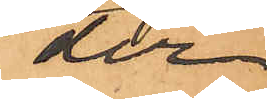der
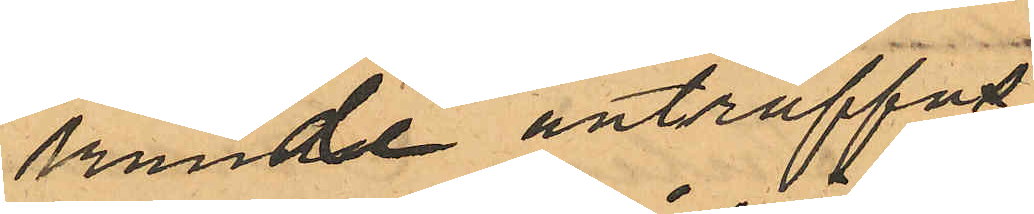kunde anträffas,
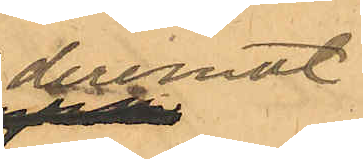deremot
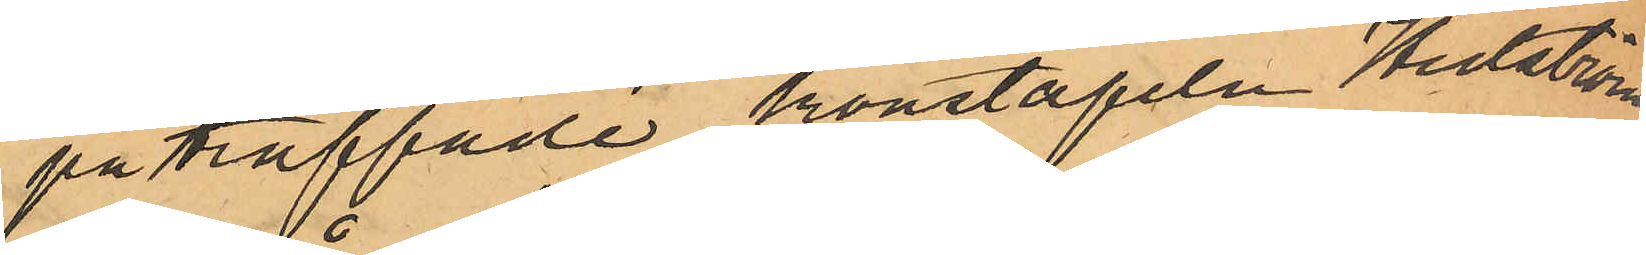påträffade konstapeln Hedström
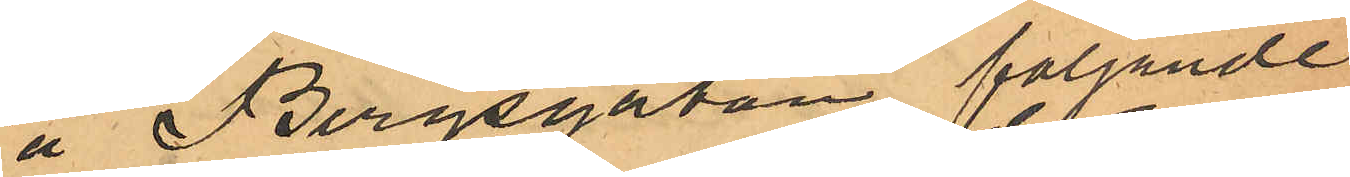å Bergsgatan följande
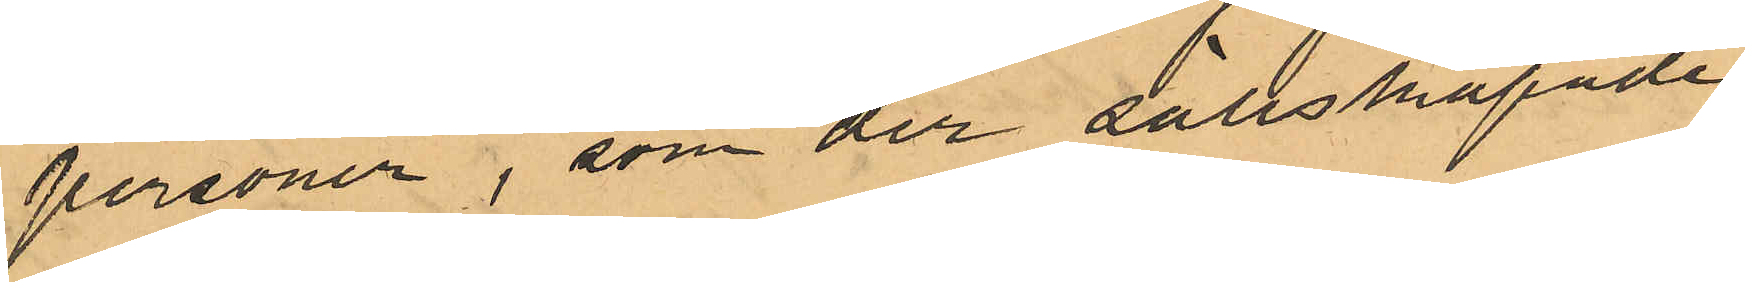personer, som der sällskapade
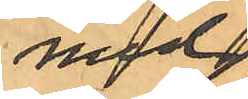med
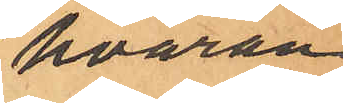hvaran¬
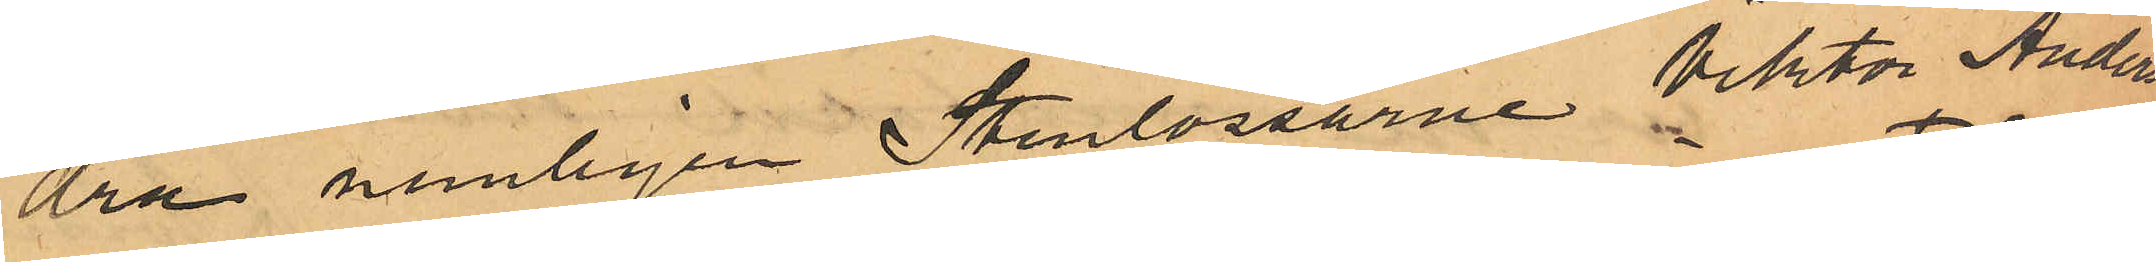dra nemligen Stenlossarne Viktor Ander¬
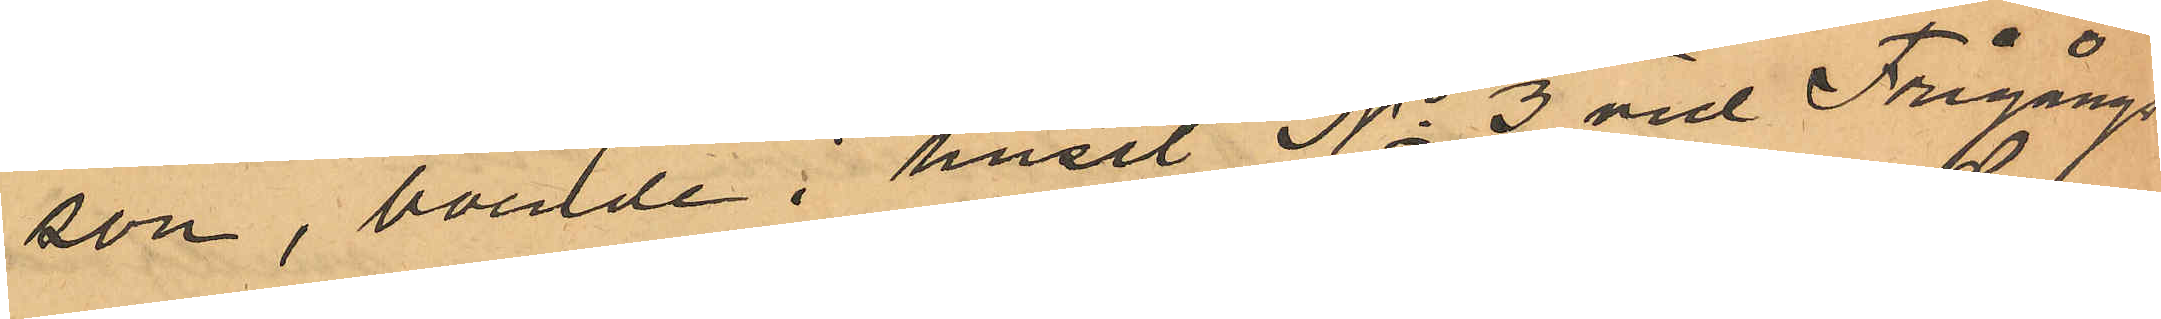son, boende i huset No 3 vid Frigångs¬
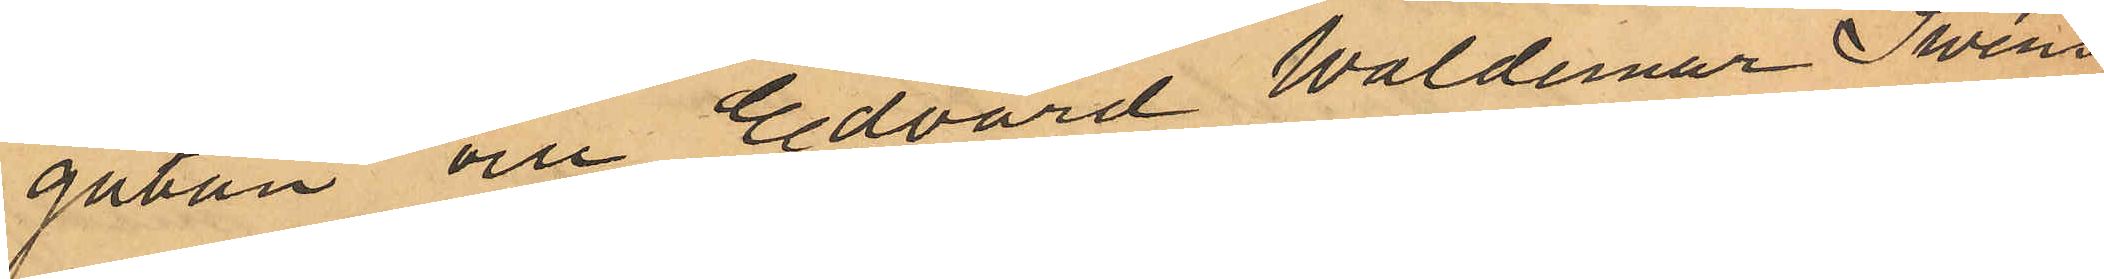gatan och Edvard Waldemar Swens¬
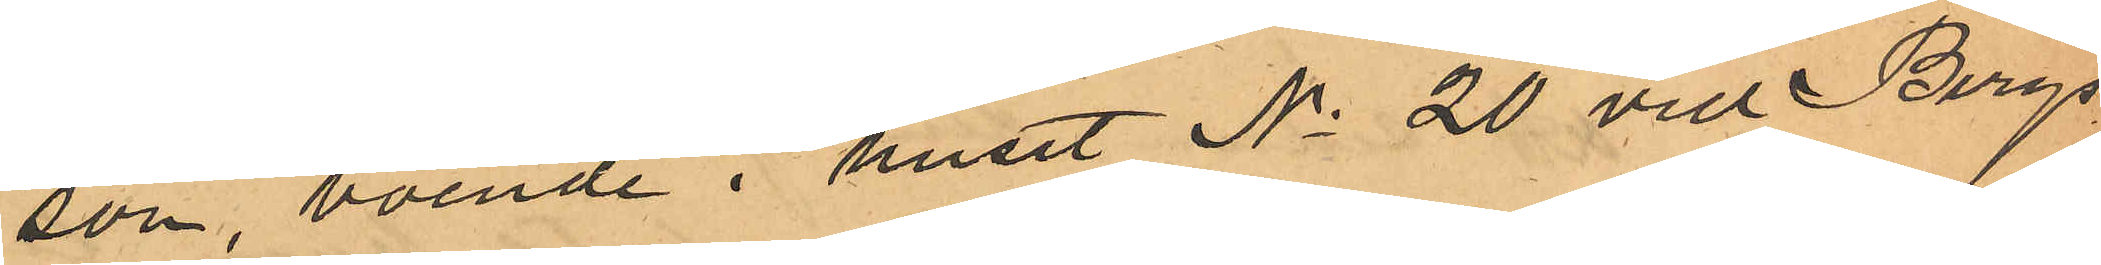son, boende i huset No 20 vid Bergs¬
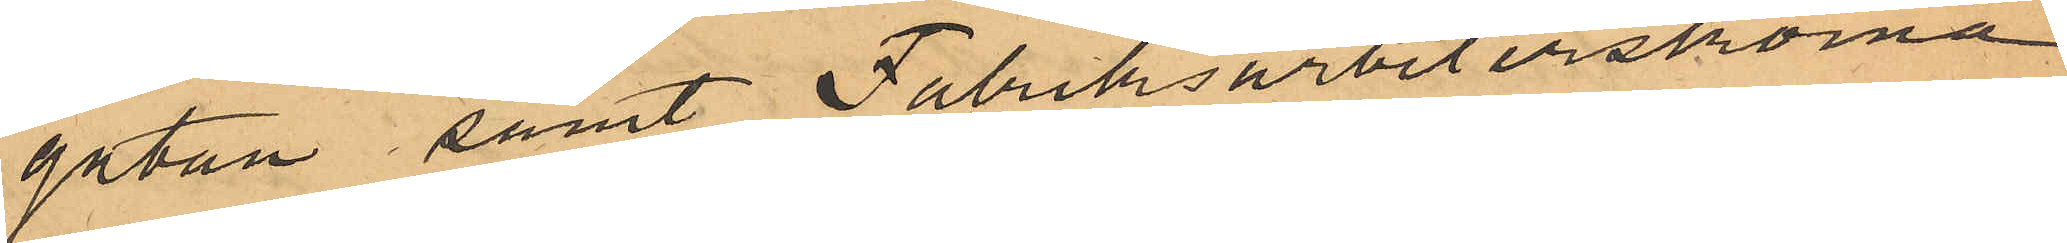gatan samt Fabriksarbeterskorna
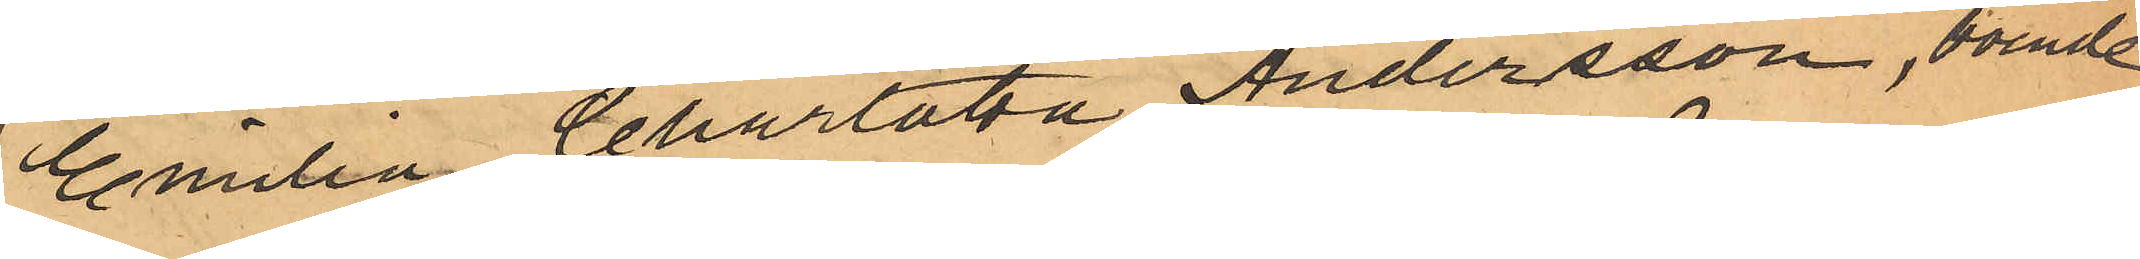Emilia Charlotta Andersson, boende
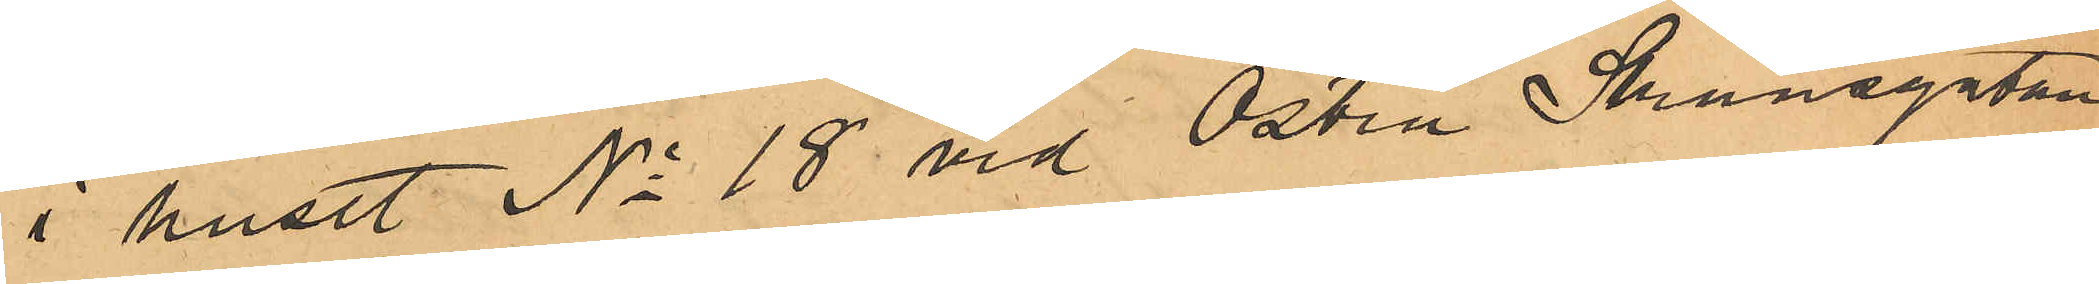i huset No 18 vid Östra Skansgatan
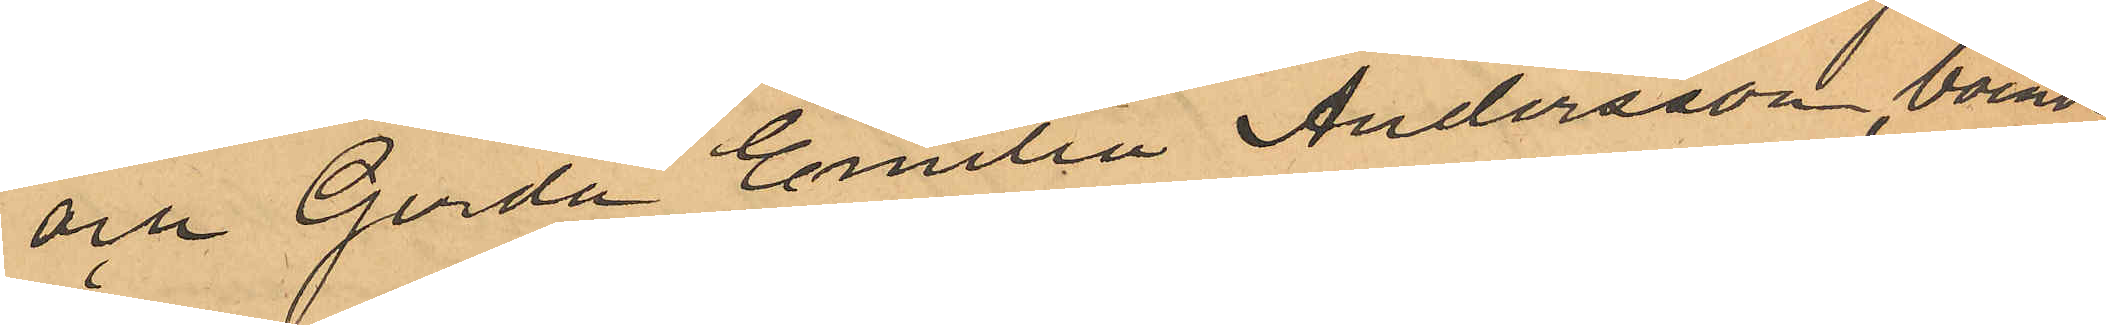och Gerda Emilia Andersson, boende
